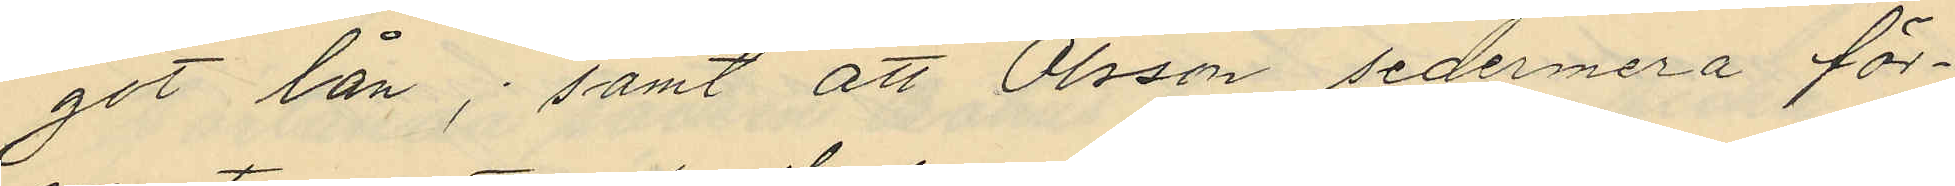got lån; samt att Olsson sedermera för¬
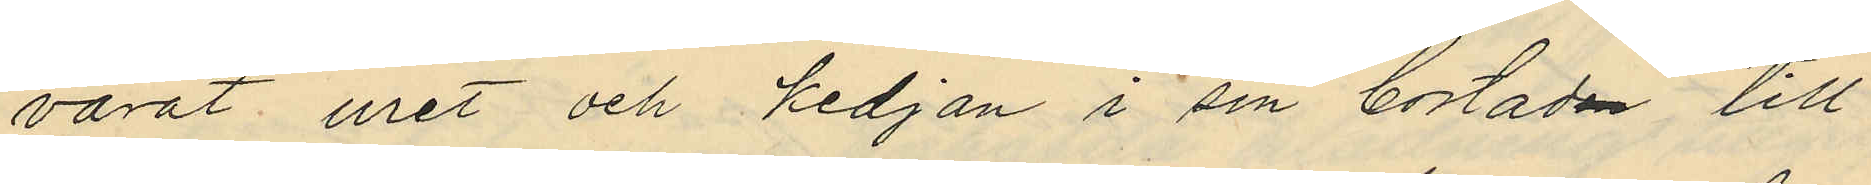varat uret och kedjan i sin bostaden till
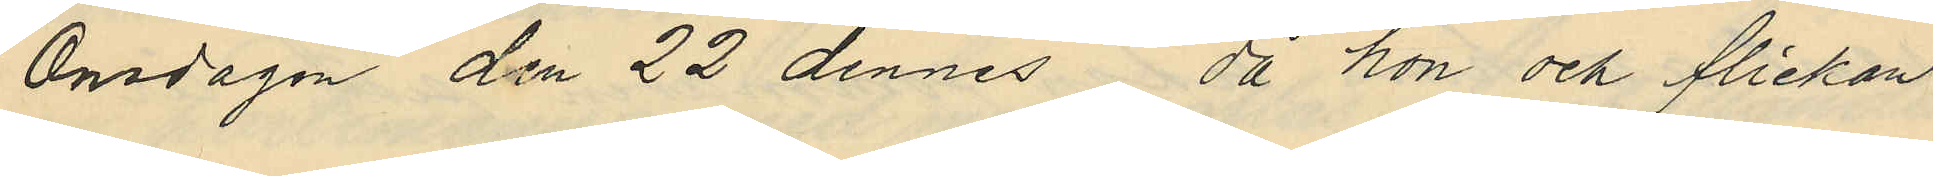Onsdagen den 22 dennes då hon och flickan
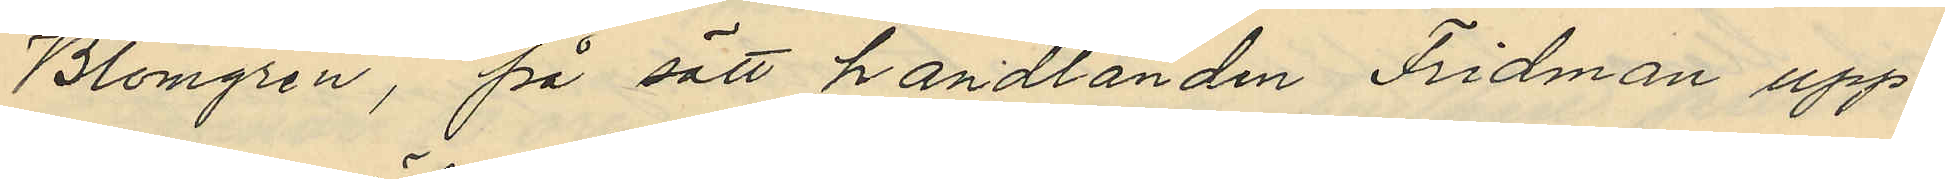Blomgren, på sätt handlanden Fridman upp¬
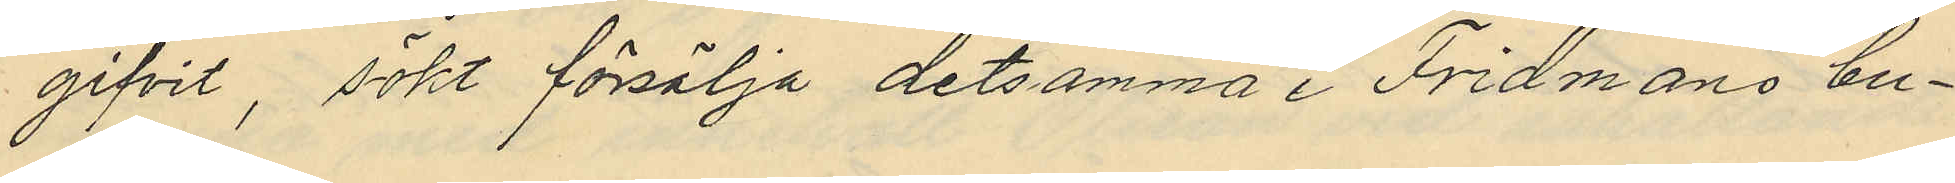gifvit, sökt försälja detsamma i Fridmans bu¬
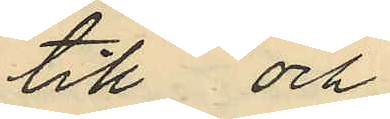till och
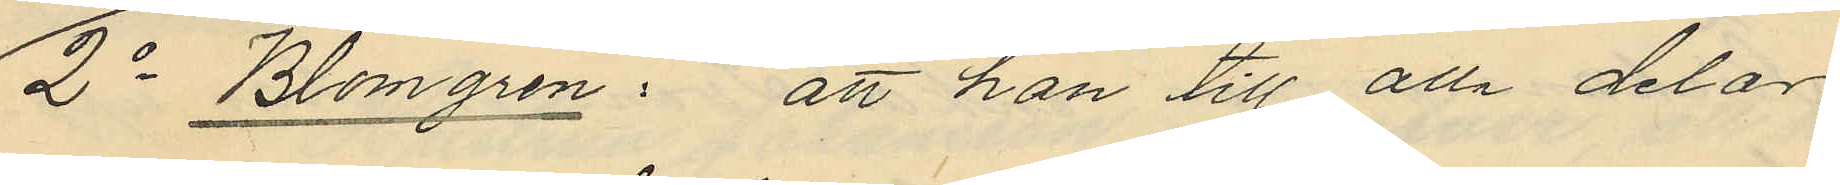2o Blomgren: att hon till alla delar
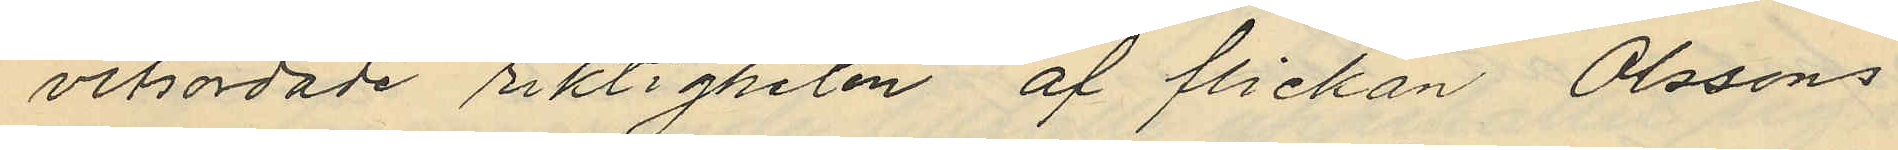vitsordade riktigheten af flickan Olssons
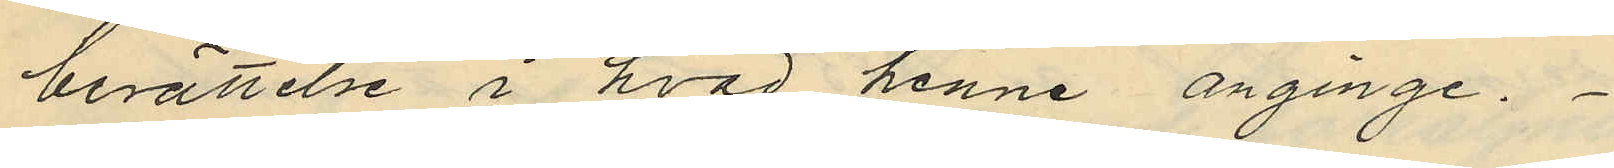berättelse i hvad henne anginge.
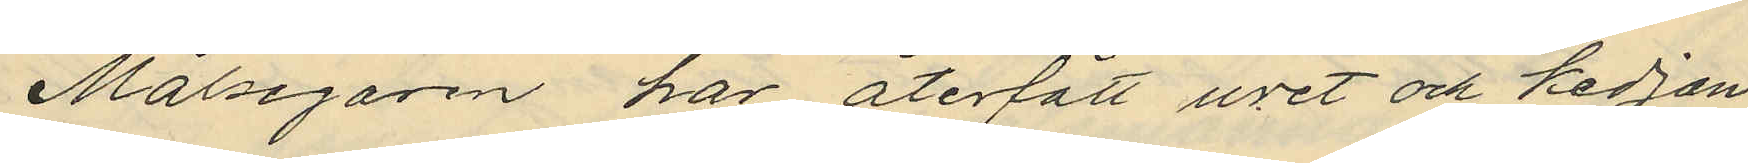Målsegaren har återfått uret och kedjan
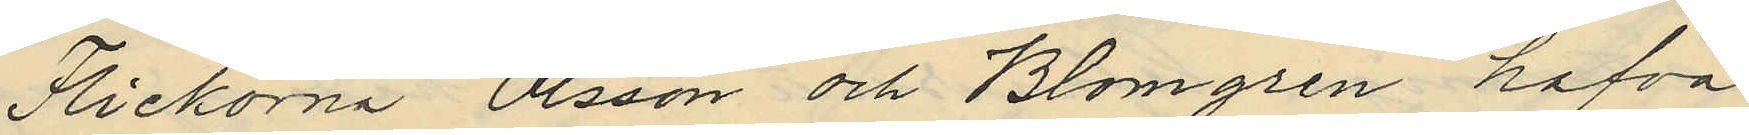Flickorna Olsson och Blomgren hafva
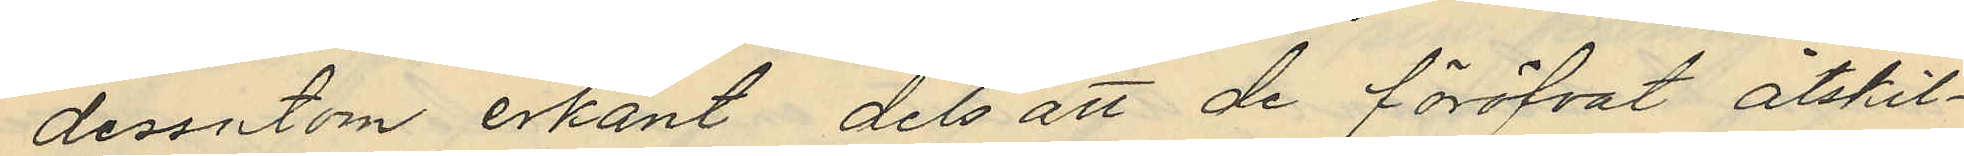dessutom erkänt dels att de föröfvat åtskil¬
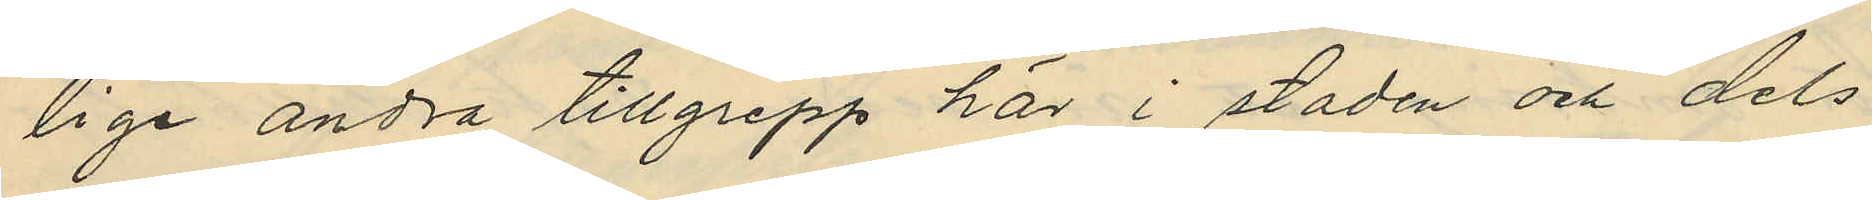lige andra tillgrepp här i staden och dels
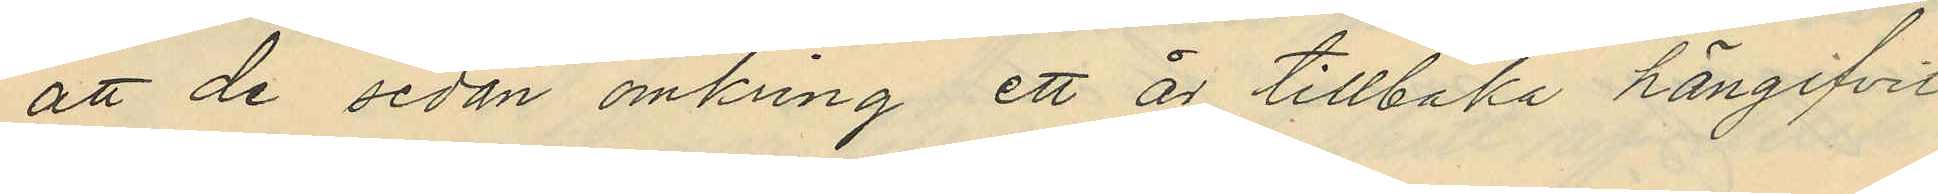att de sedan omkring ett är tillbaka hängifvit
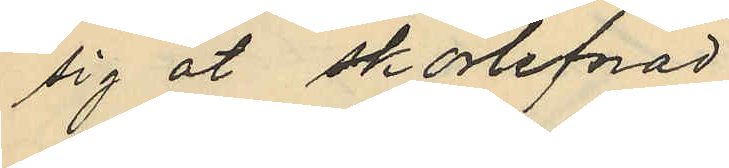sig åt skörlefnad.
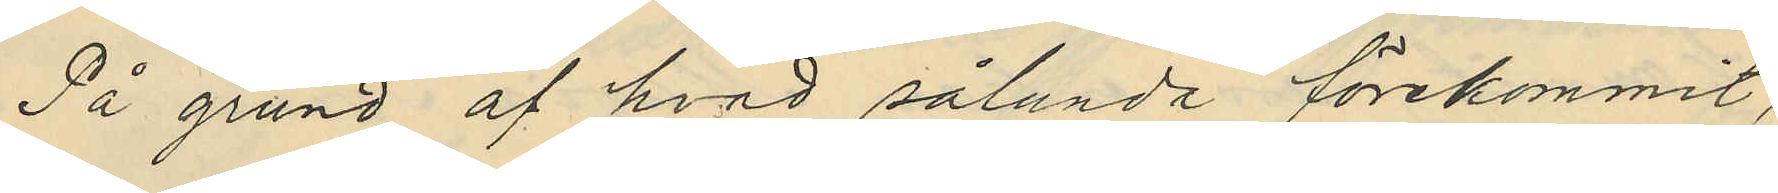På grund af hvad sålunda förekommit,
